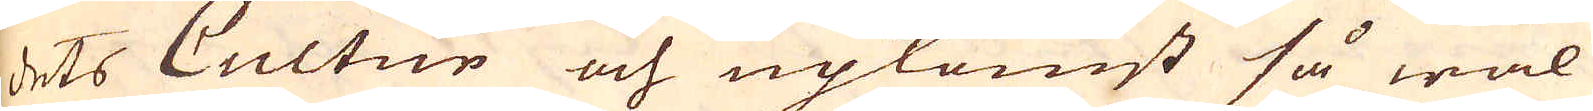dets Cultur och upkomst så wäl
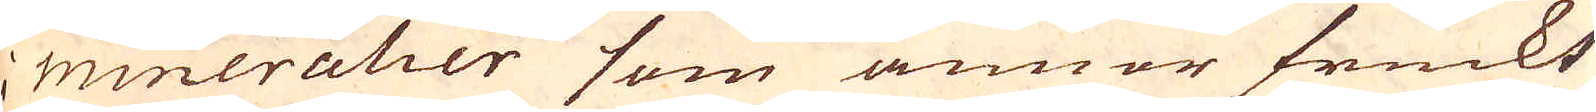i mineralier som annor fruckt
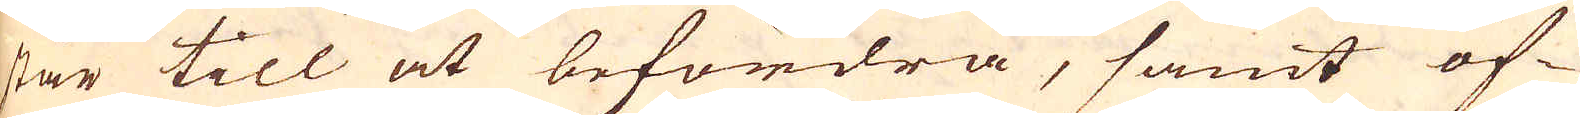står till at befordra, samt öf-
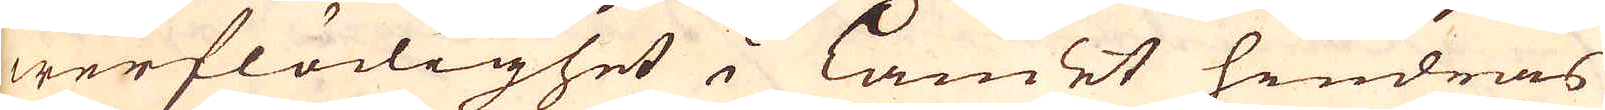werflödighet i Landet hindras
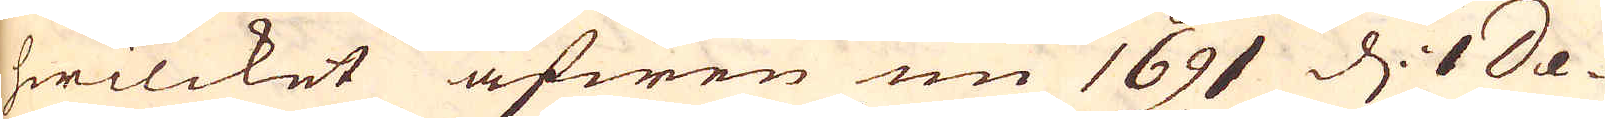hwilcket äfwen nu 1691 d: 1 De-
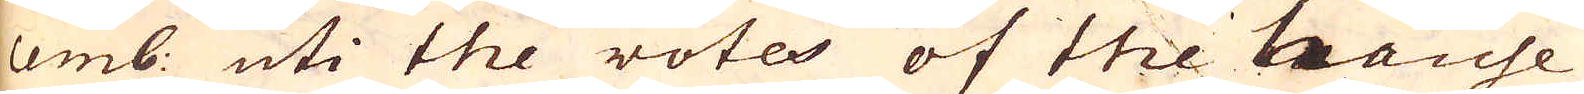cemb: uti the votes of the hause
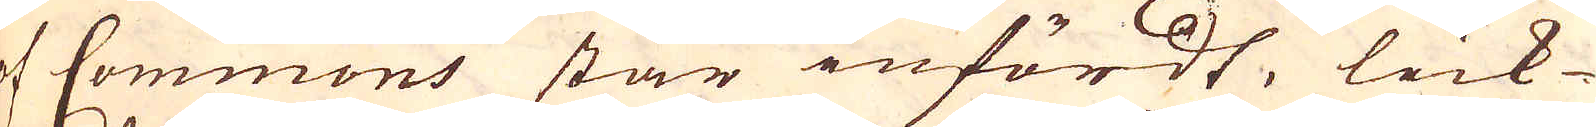af Commons står infördt, lick-
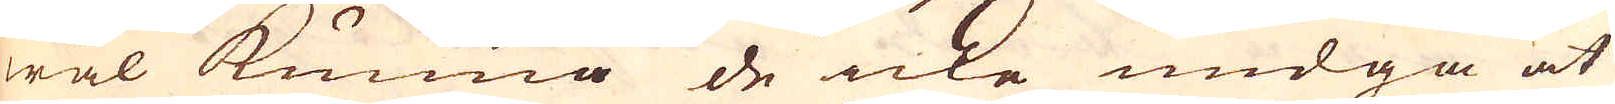wäl kunna de icke undgå at
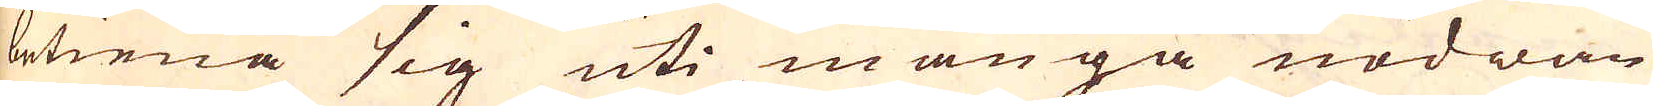betiena sig uti många nödwän-
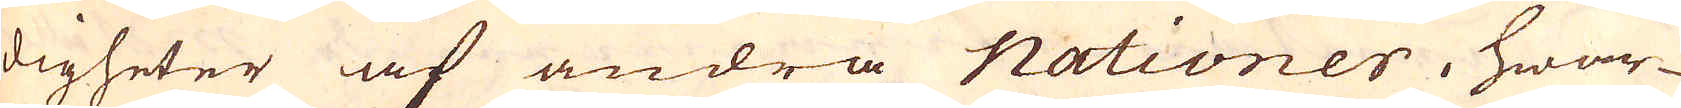digheter af andra Nationer, hwar-
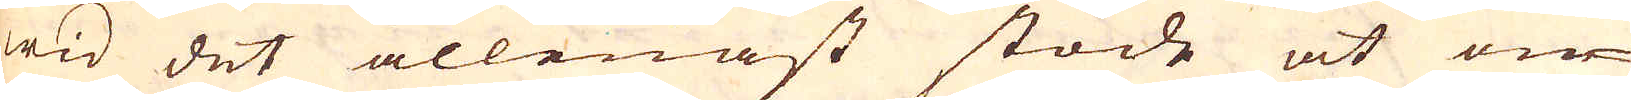wid det allenast stode at ön-
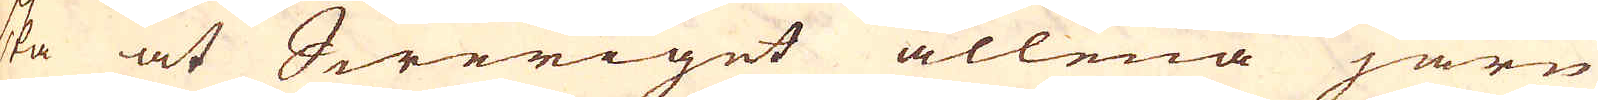ska at Sweriget allena järn
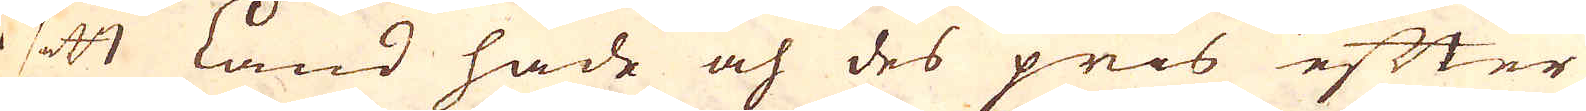i sitt Land hade och des pris efter
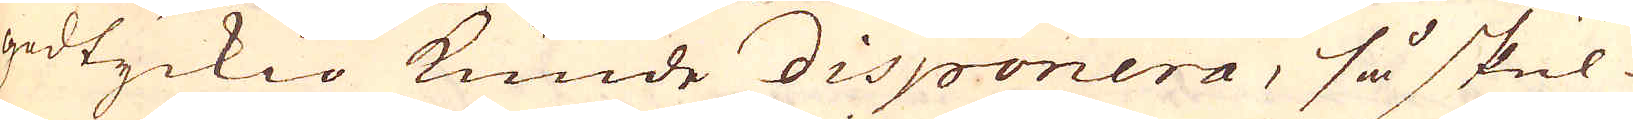godtyckio kunde disponera, så skul-
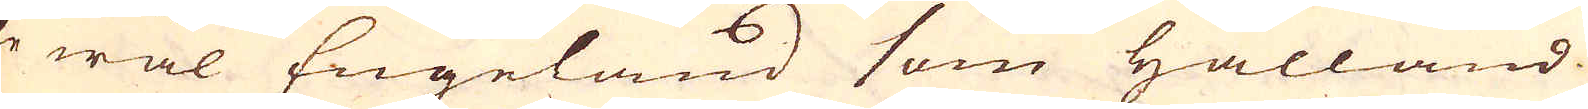le wäl Engeland som Hålland
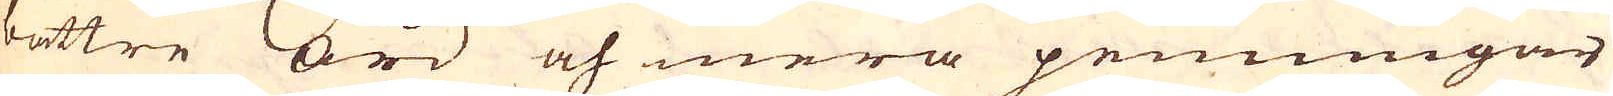bättre ord och mera penningar
